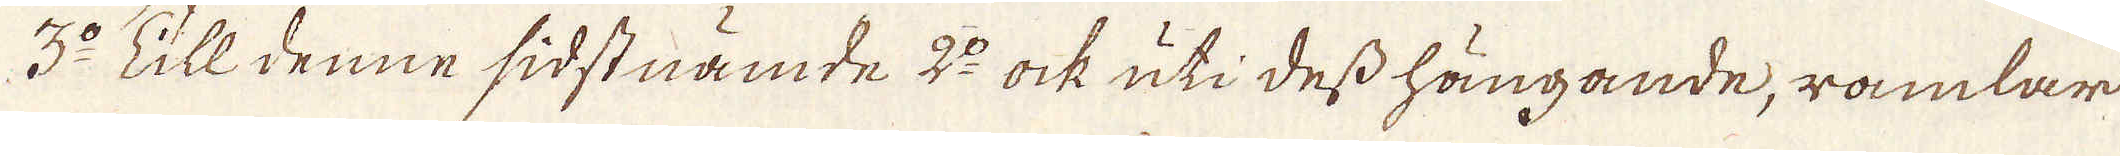3:o Till denne sidstnämde 2:o ock uti dess hängande, ramlar
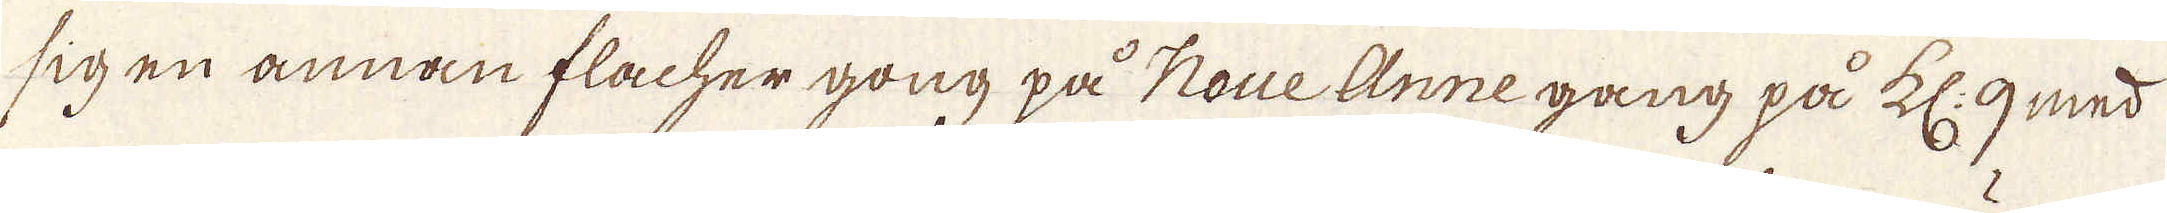sig en annan flacher gong på Noue Anne gång på kl: 9 med
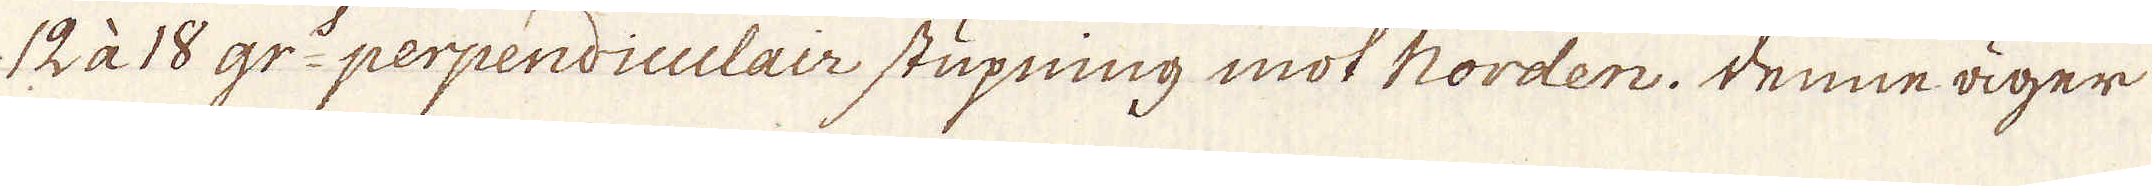12 à 18 gr:o perpendiculair stupning mot Norden. Denne äger
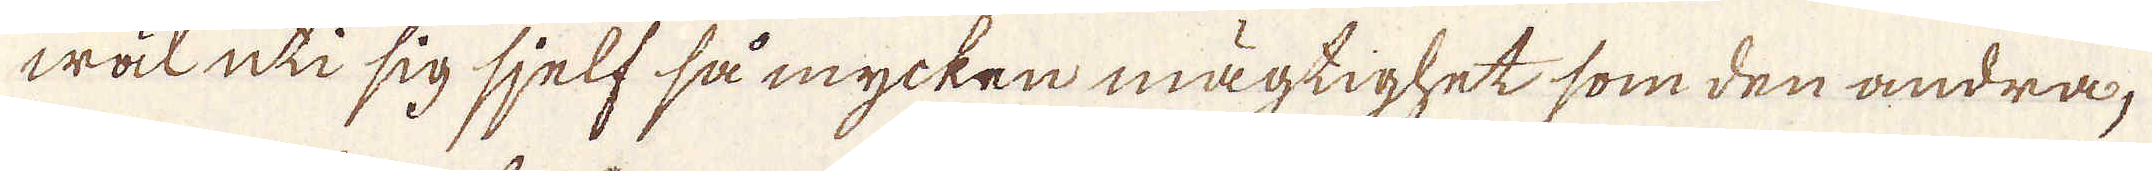wäl uti sig sjelf så mycken mägtighet som den andra,
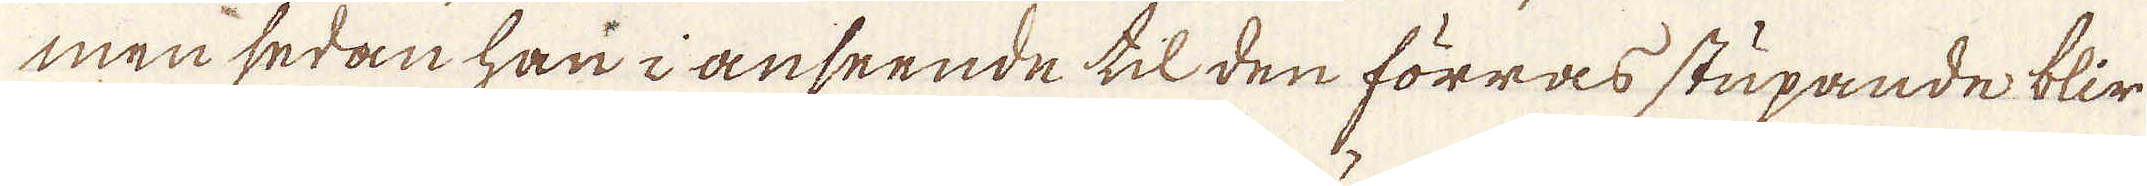men sedan han i anseende til den förras stupande blir
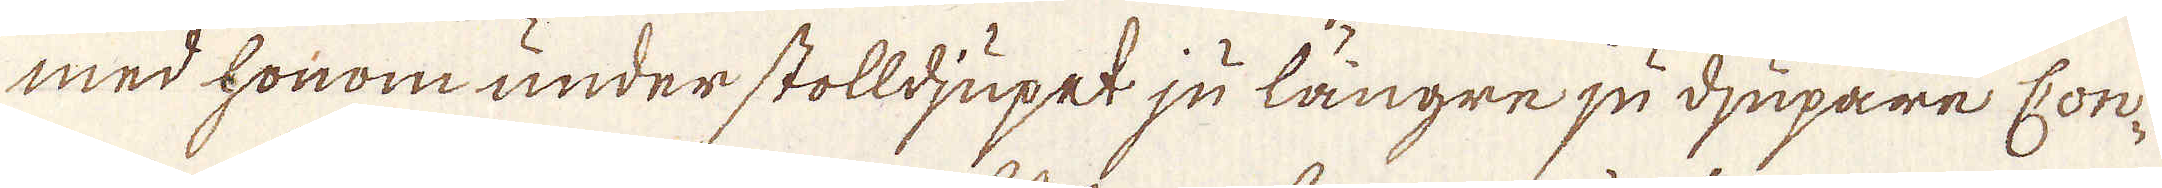med honom under stolldjupet ju längre ju djupare Con-
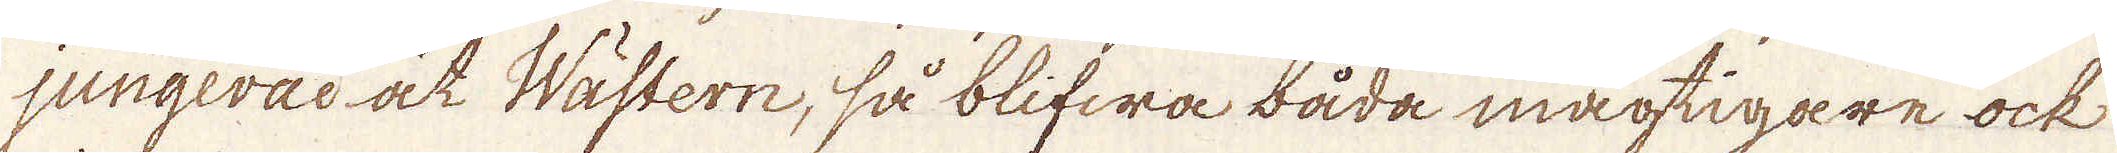jungeras at Wästern, så blifwa båda mägtigare ock
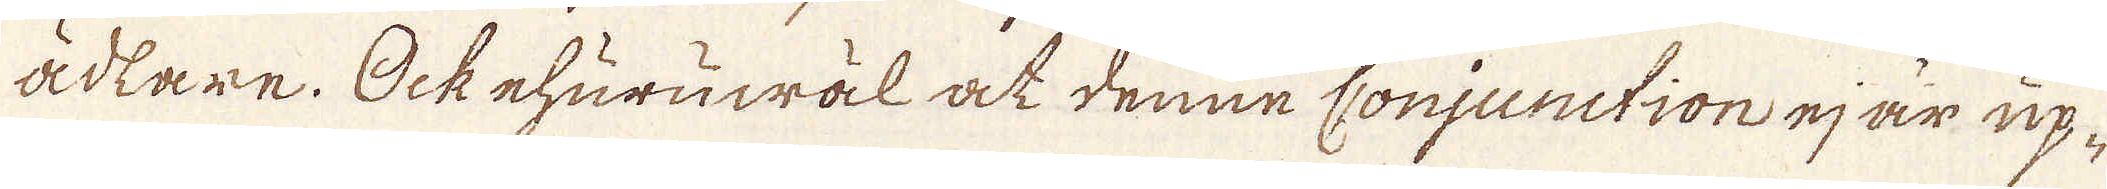ådtare. Ock ehuruwäl at denne conjunction ej är up-
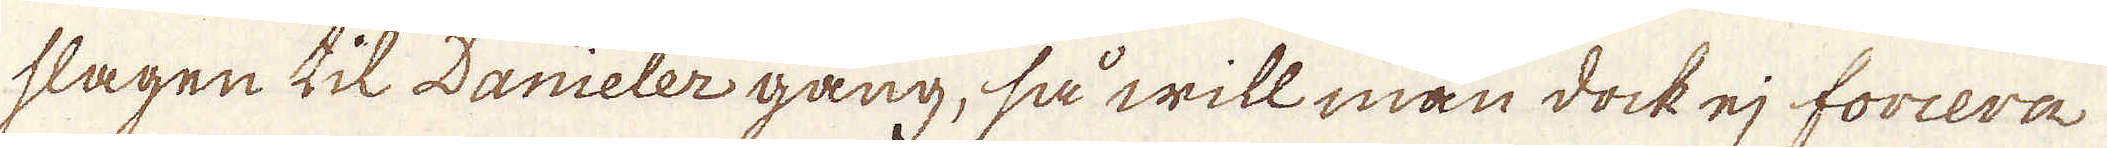slagen til Danieler gang, så will man dock ej foriera
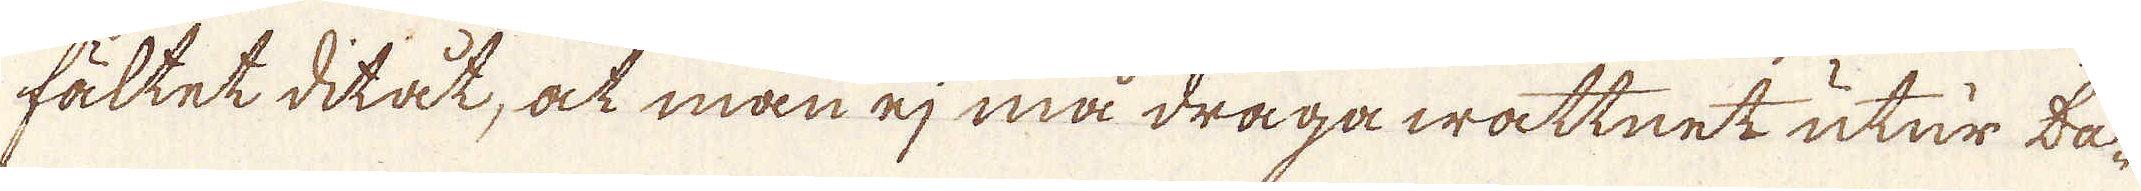fältet ditat, at man ej må draga wattnet utur da-
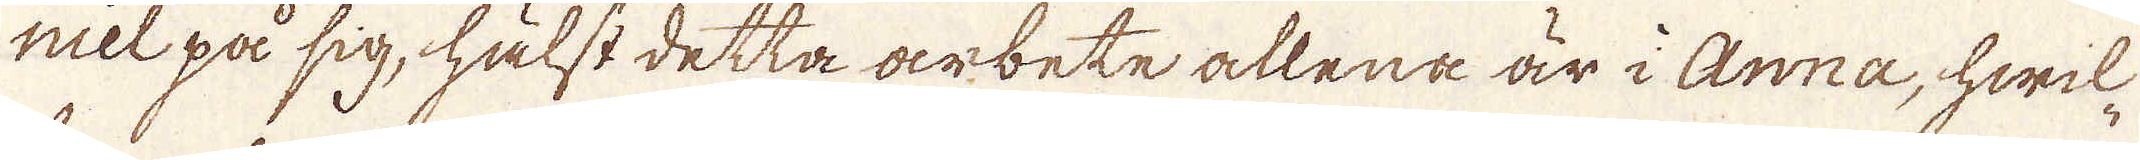niel på sig, hälst detta arbete allena är i Anna, hwil-
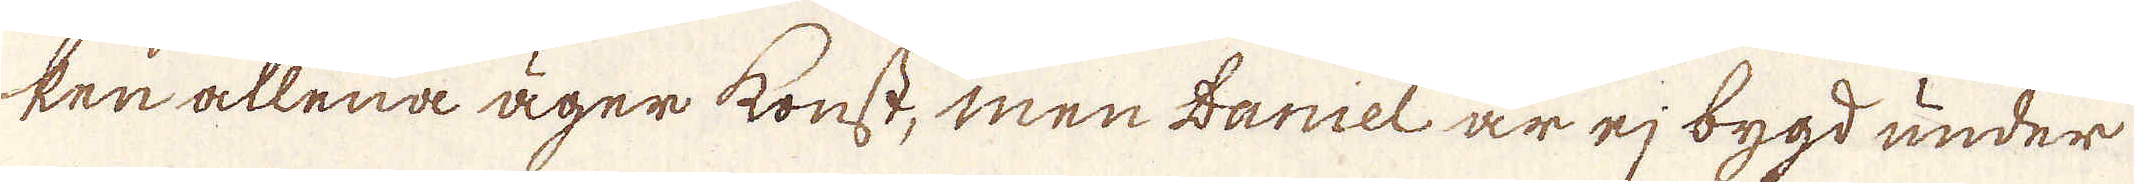ken allena äger konst, men Daniel är ej bygd under
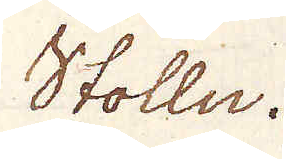Stolln.
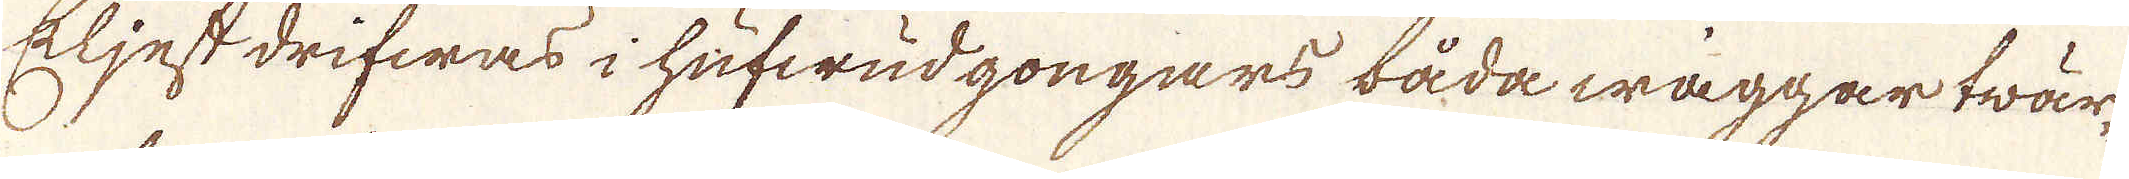Eljest drifwas i hufwudgongars båda wäggar twär-
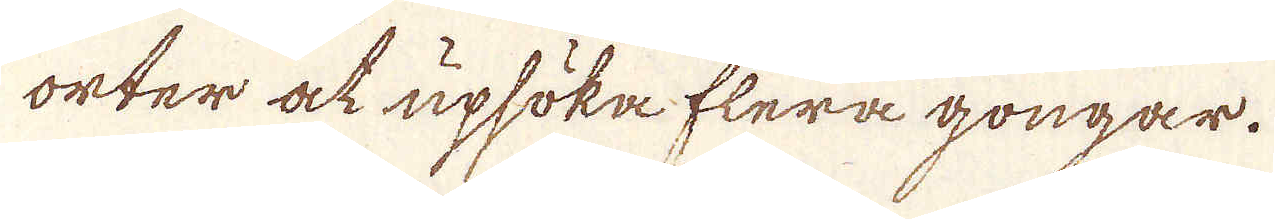orter at upsöka flera gongar.
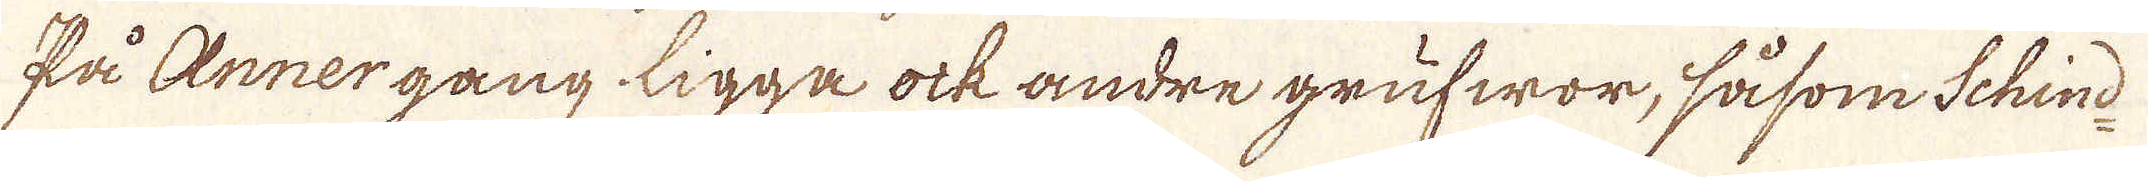På Annergang ligga ock andre grufwor, såsom Schind-
